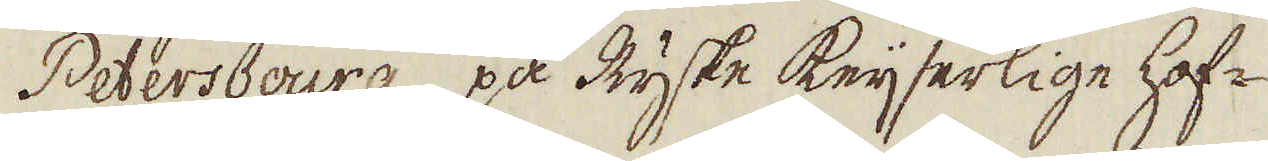Petersbourg, på Ryske Keijserlige hof-
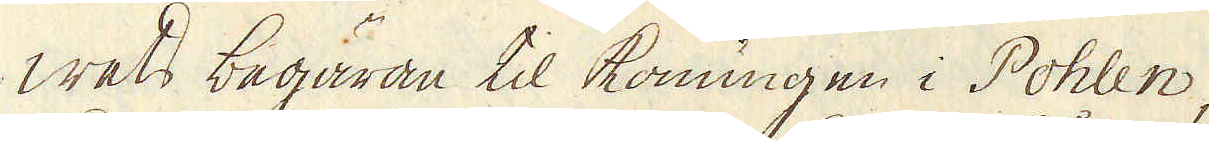wets begäran til konungen i Pohlen,
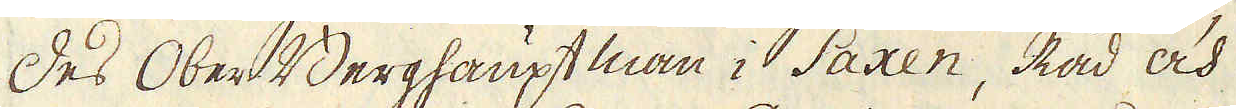des Ober Berghauptman i Saxen, Råd och
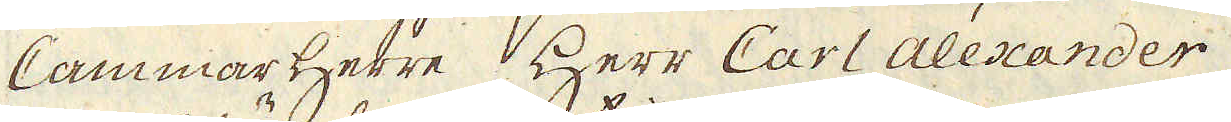Cammar Herre Herr Carl Alexander
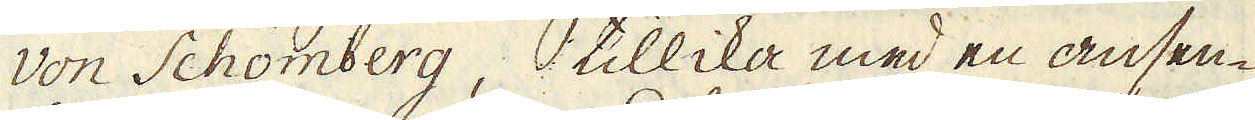von Schömberg, tillika med en ansen-
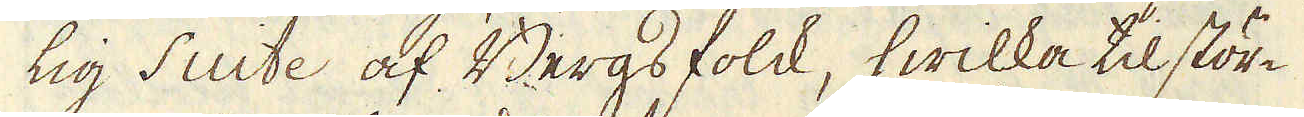lig suite af Bergs folck, hwilka til stör-
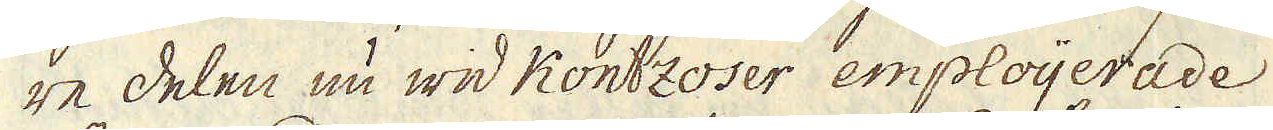re delen nu wid Kontzoser emploijerade
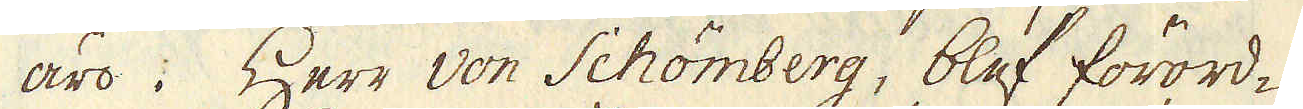äro. Herr von Schömberg, blef förord-
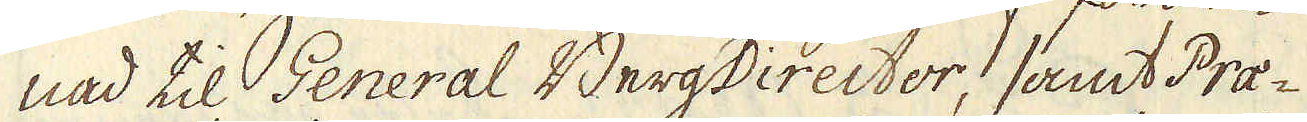nad til General BergDirector, samt Prae-
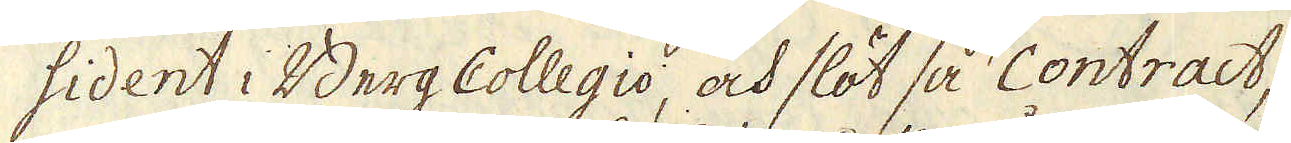sident i Berg Collegio, och slöt så contract,
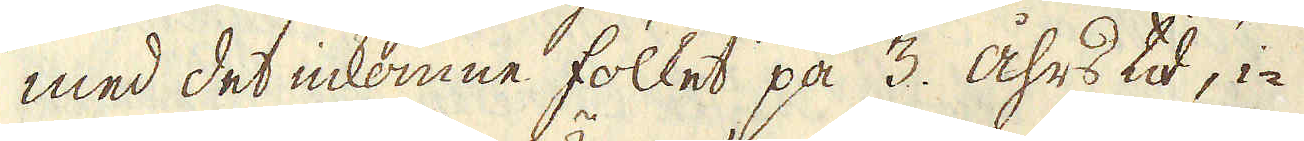med det inkomne folket på 3. åhrs tid, i-
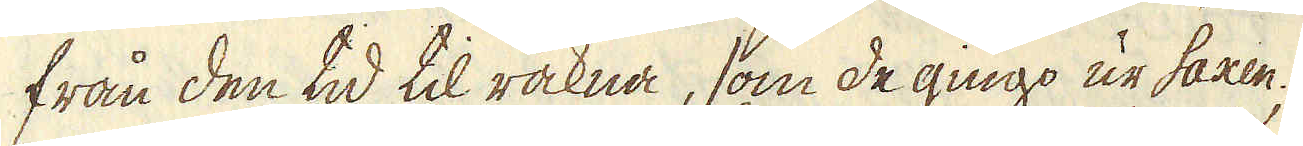från den tid, til räkna, som de gingo ur Saxen,
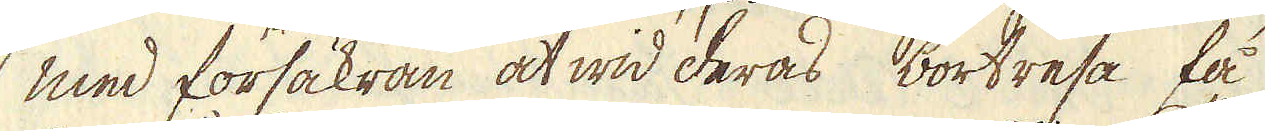med försäkran at wid deras bortresa få
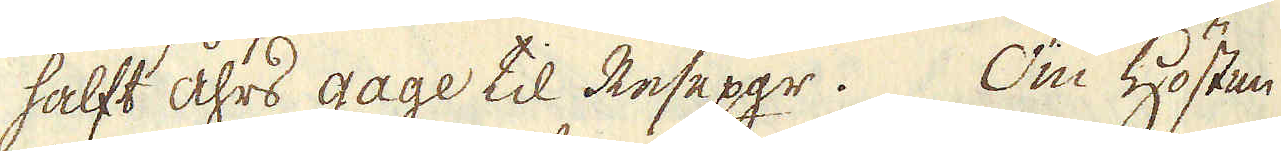halft åhrs gage til Resepgr. Om Hösten
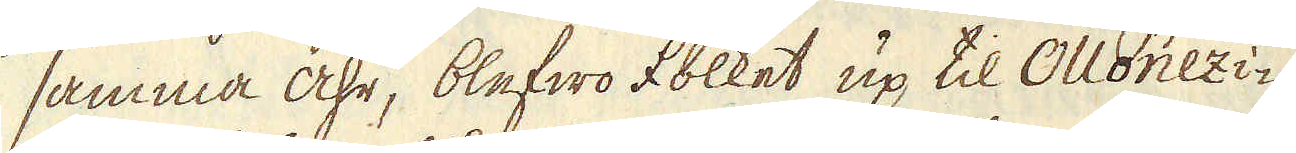samma åhr, blefwo folket up til Ollonezi-
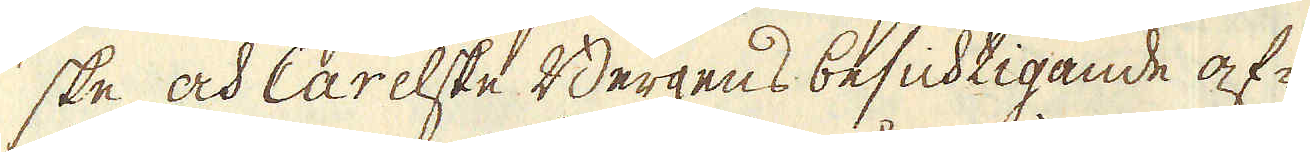ske och Carelske Bergens besichtigande af-
